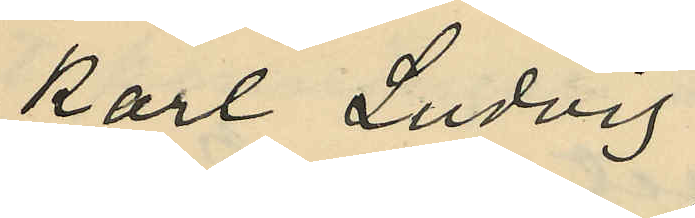Karl Ludvig
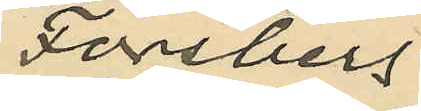Forsberg
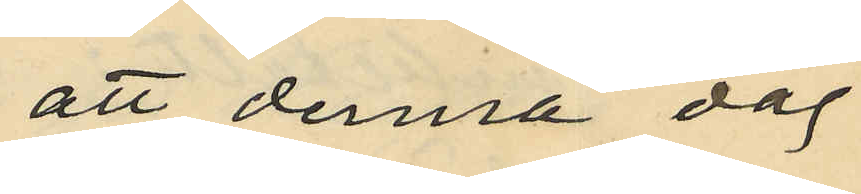att denna dag
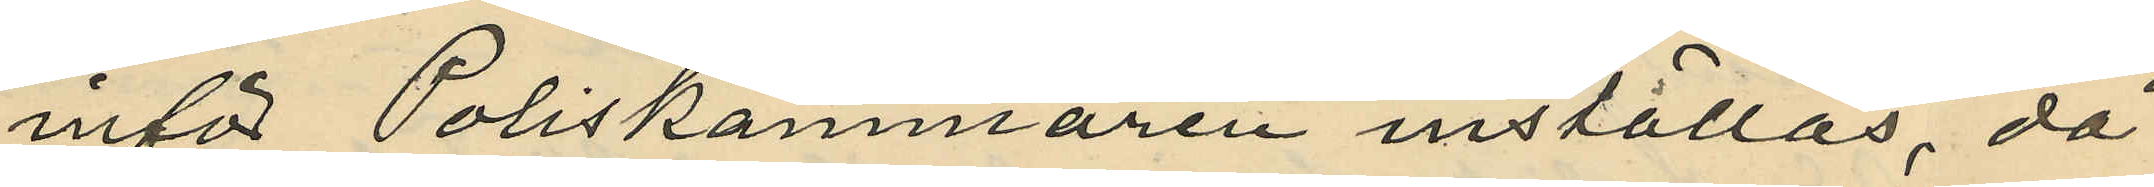inför Poliskammaren inställas, då
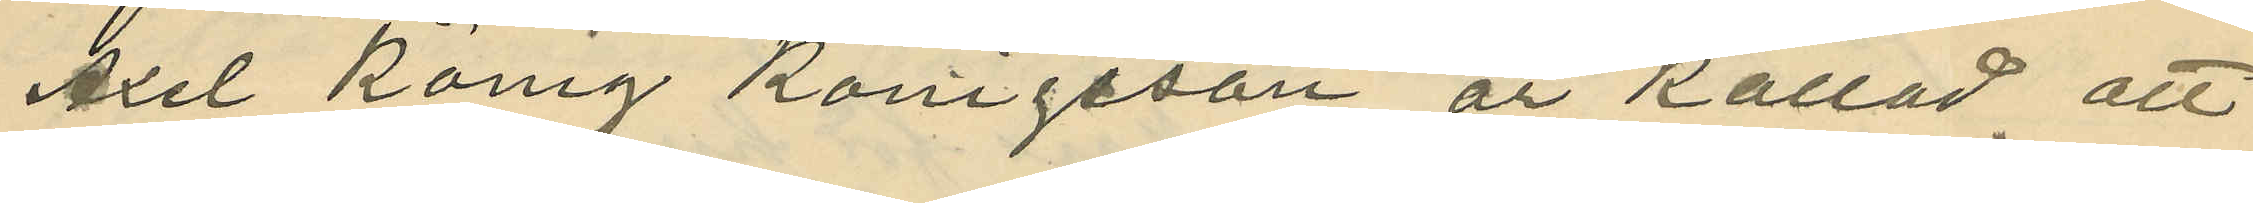Axel König Königsson är kallad att
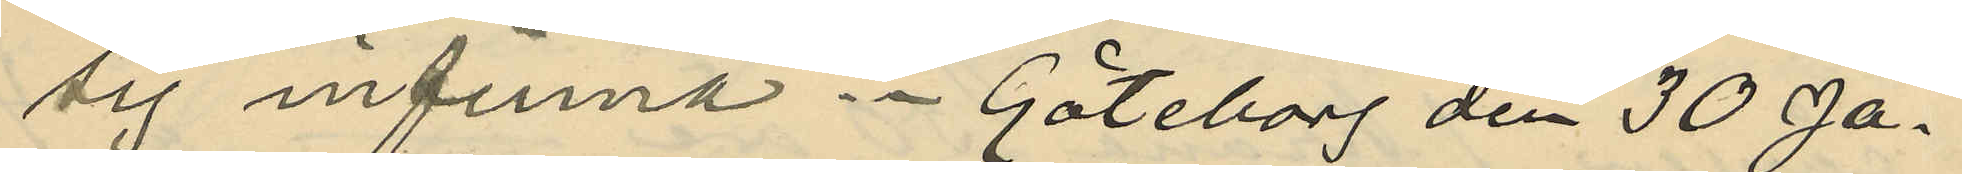sig infinna. Göteborg den 30 Ja¬
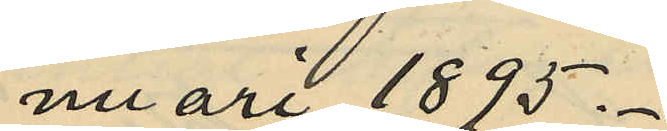nuari 1895.
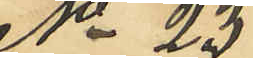No 23
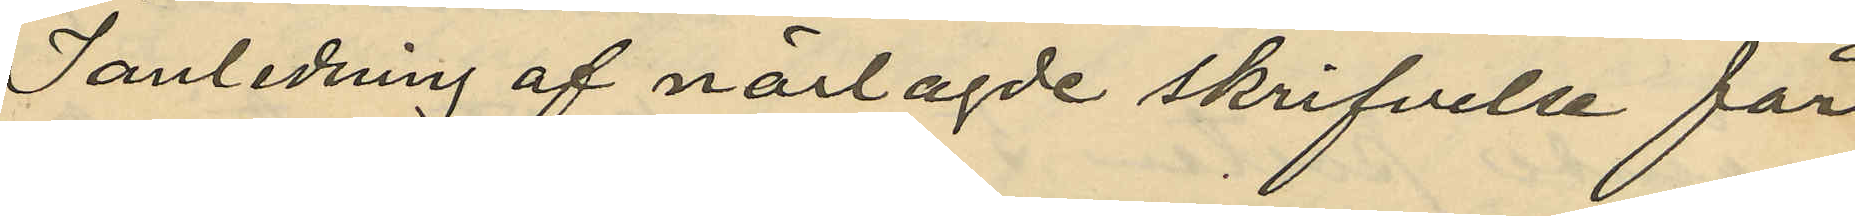I anledning af närlagde skrifvelse får
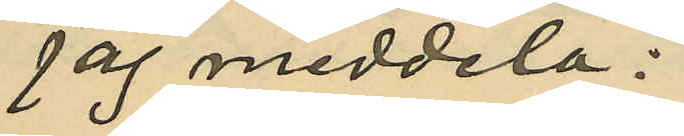jag meddela:
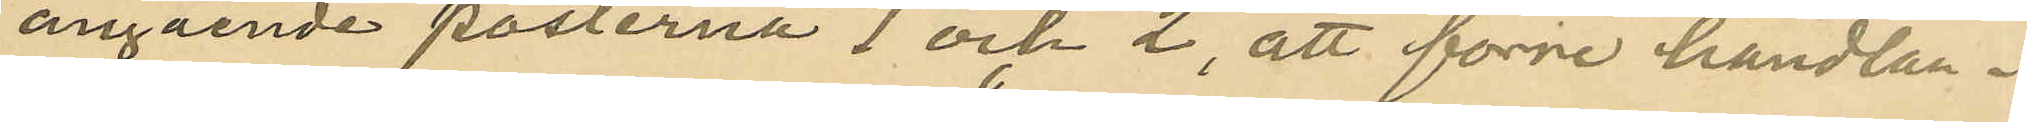angående parterna 1 och 2, att förre handlan¬
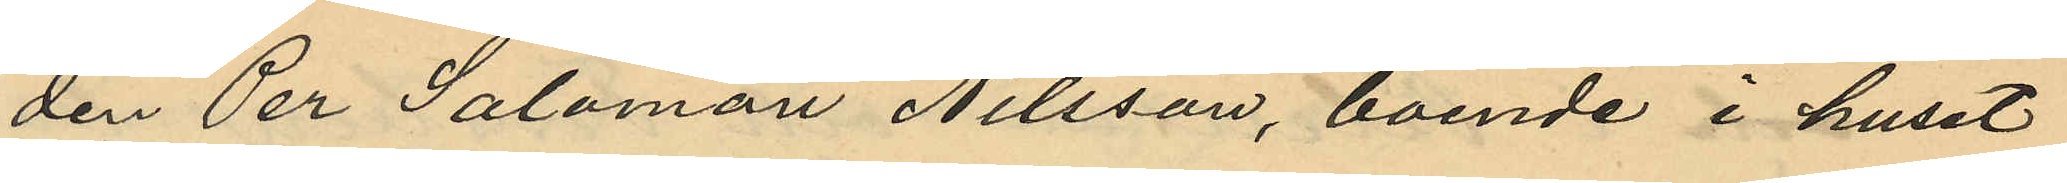den Per Salomon Nilsson, boende i huset
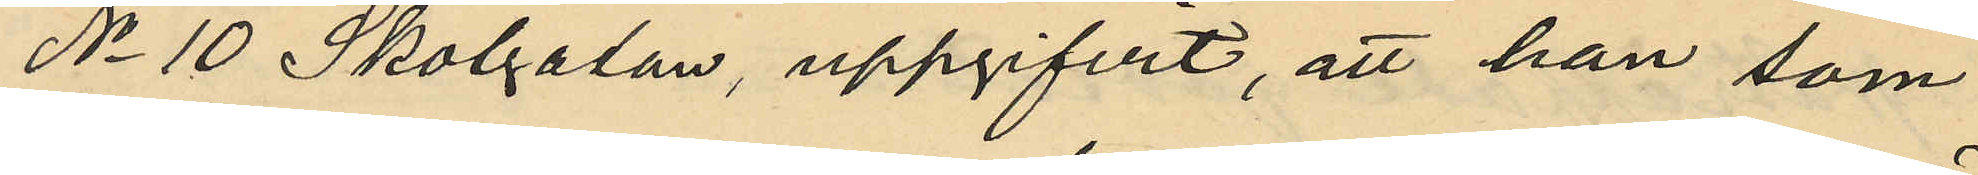No 10 Skolgatan, uppgifvit, att han som
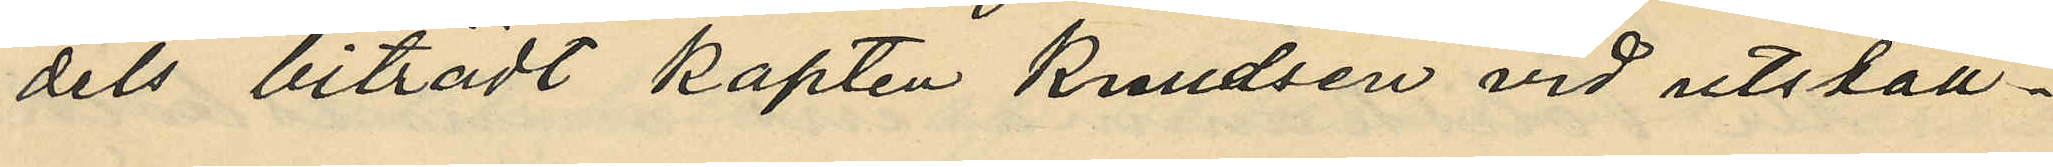dels biträdt kapten Knudsen vid utställ¬
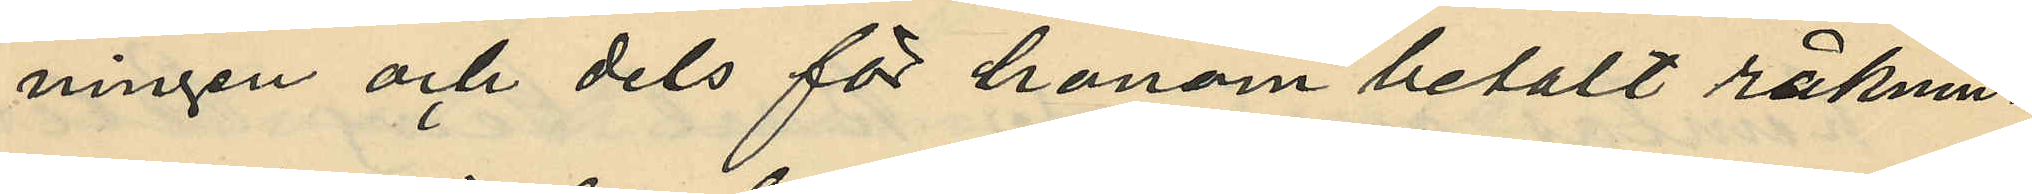ningen och dels för honom betalt räknin¬
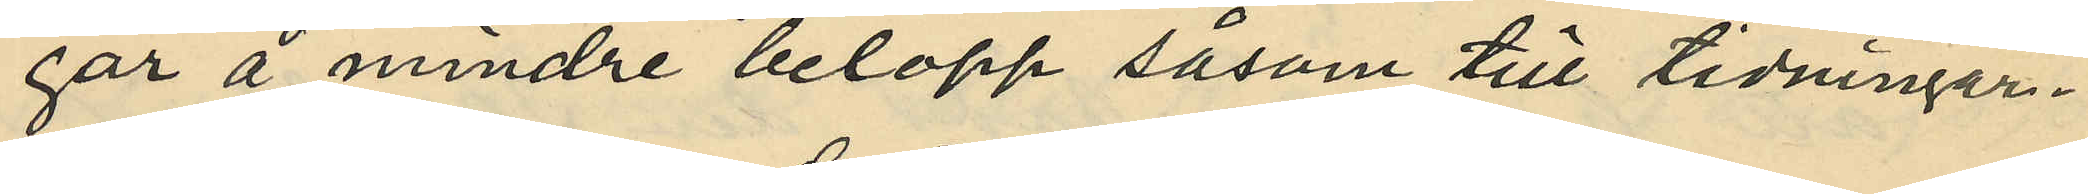gar å mindre belopp såsom till tidningar¬
